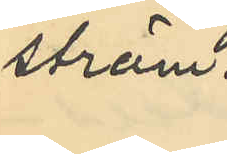ström.
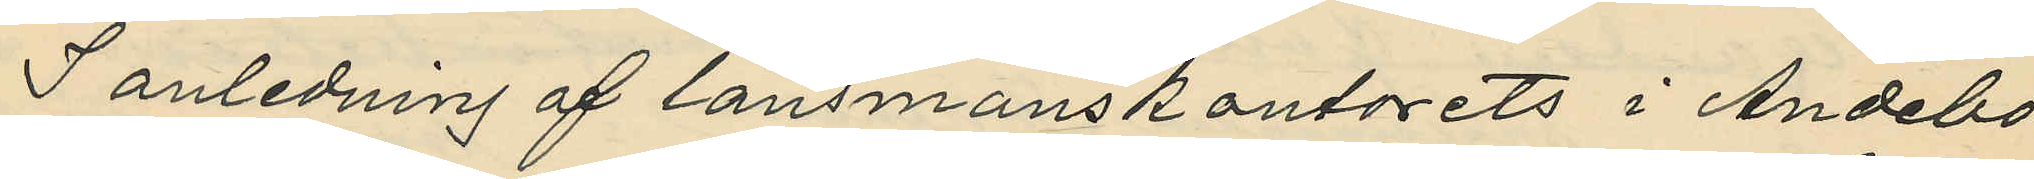I anledning af länsmanskontorets i Andebo
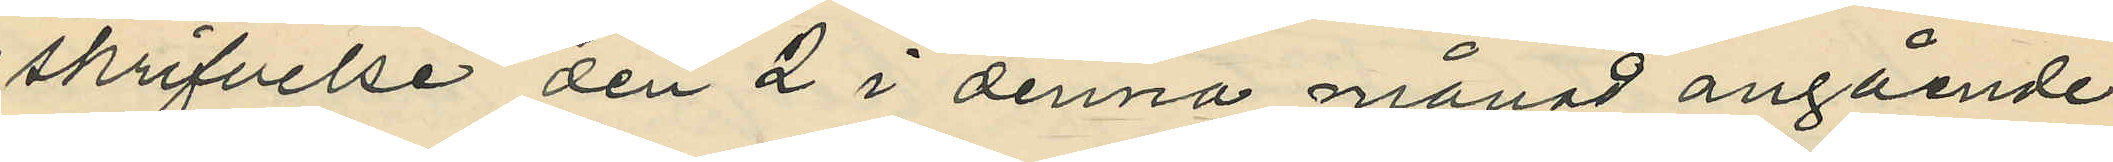skrifvelse den 2 i denna månad angående
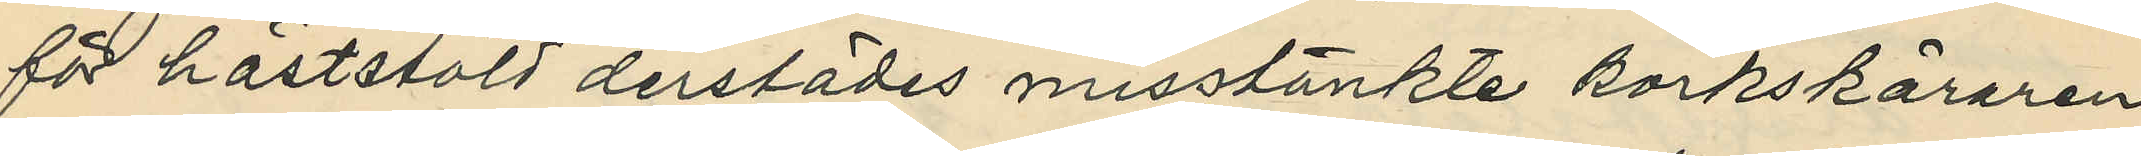för häststöld derstädes misstänkte korkskäraren
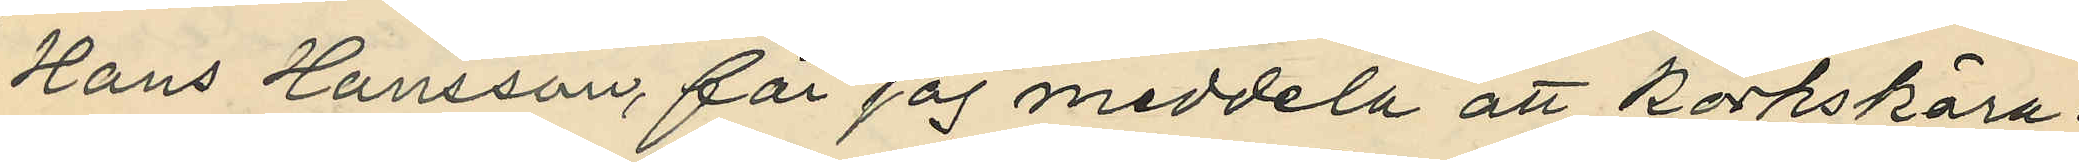Hans Hansson, får jag meddela att korkskära¬
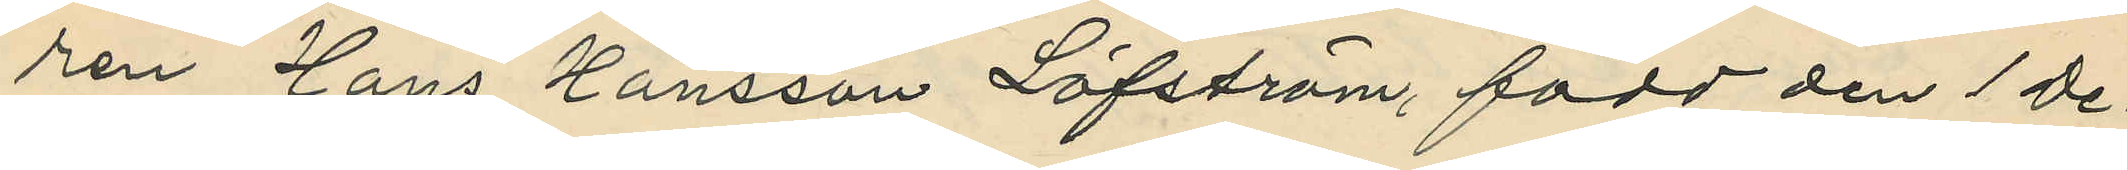ren Hans Hansson Löfström, född den 1 De¬
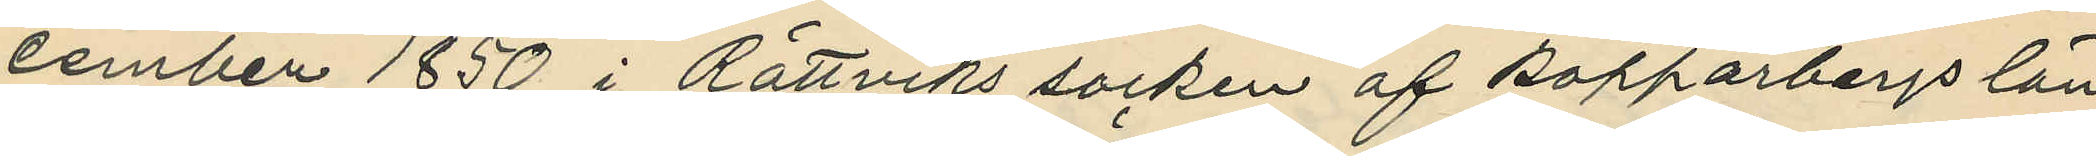cember 1850 i Rättviks socken af Kopparbergs län,
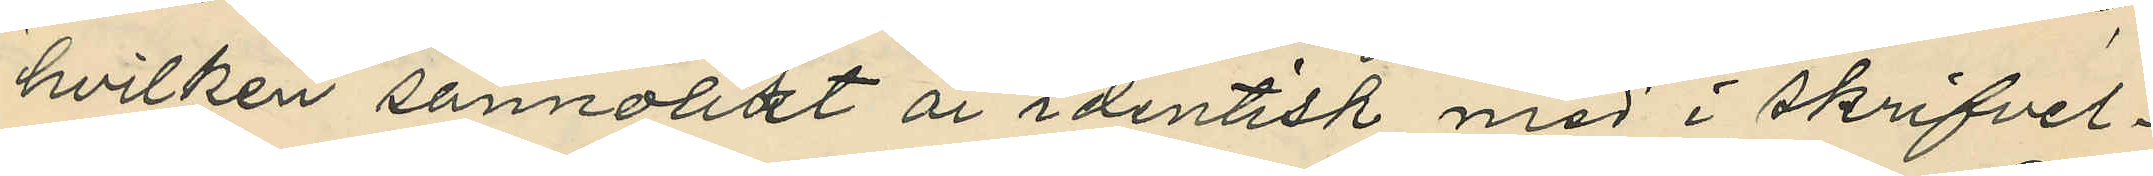hvilken sannolikt är identisk med i skrifvel¬
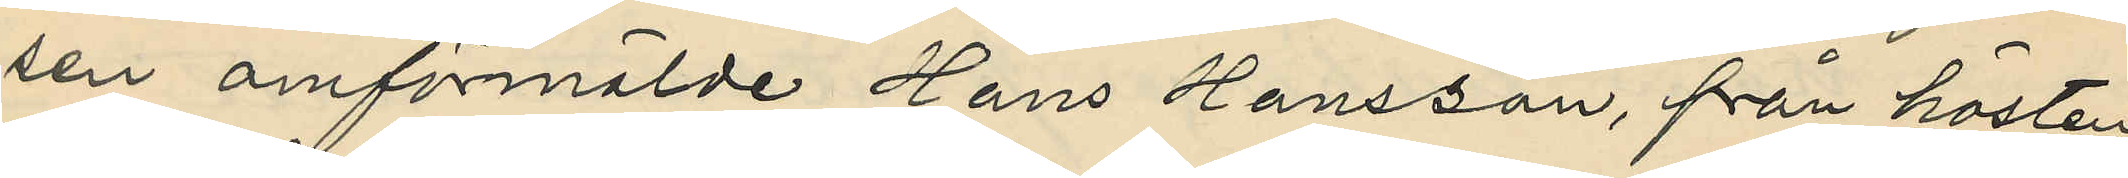sen omförmälde Hans Hansson, från hösten
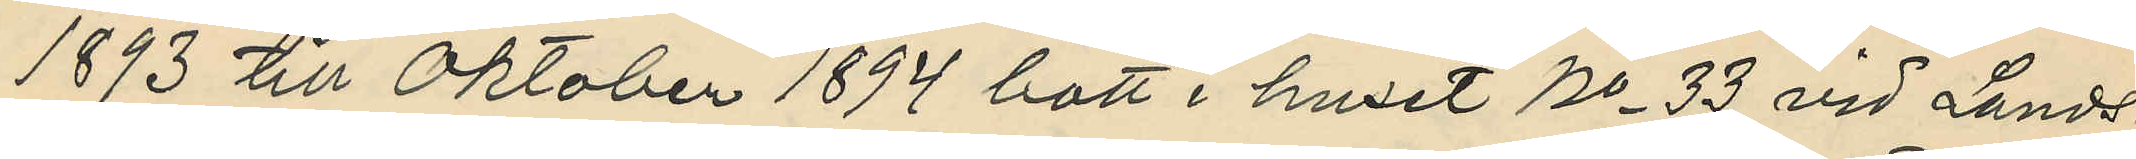1893 till Oktober 1894 bott i huset No 33 vid Lands¬
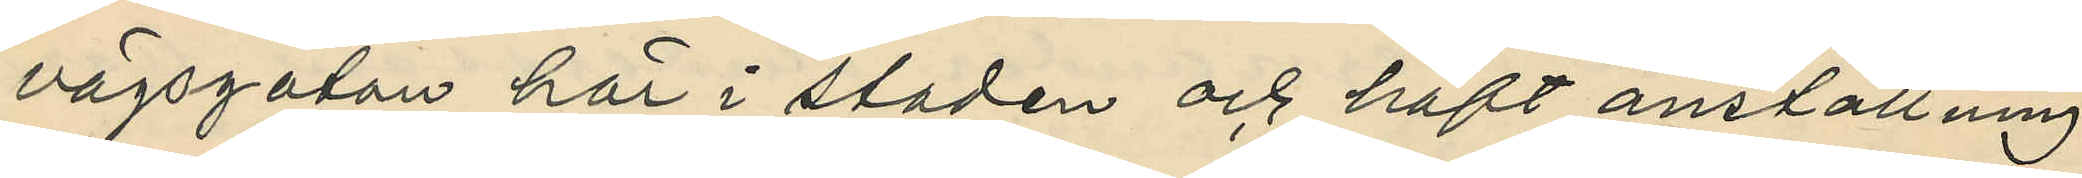vägsgatan här i staden och haft anställning
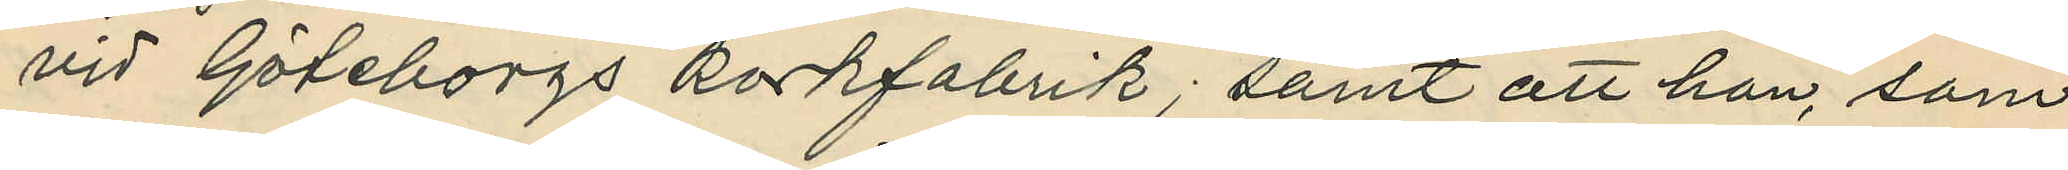vid Göteborgs korkfabrik; samt att han, som
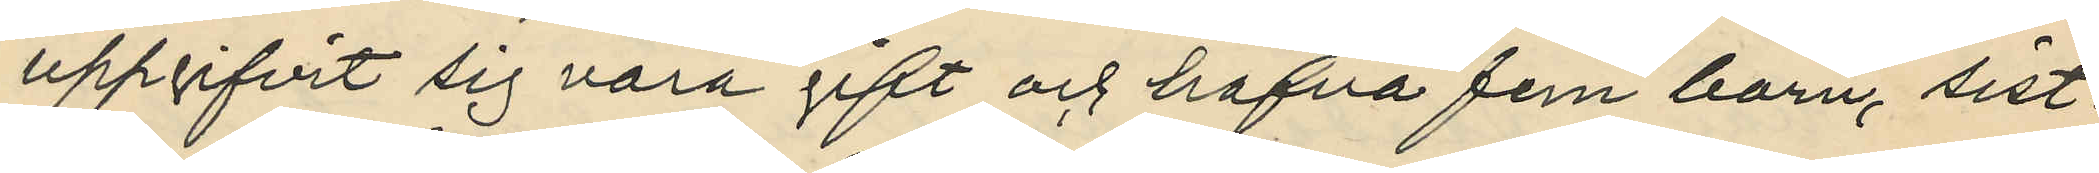uppgifvit sig vara gift och hafva fem barn, sist¬
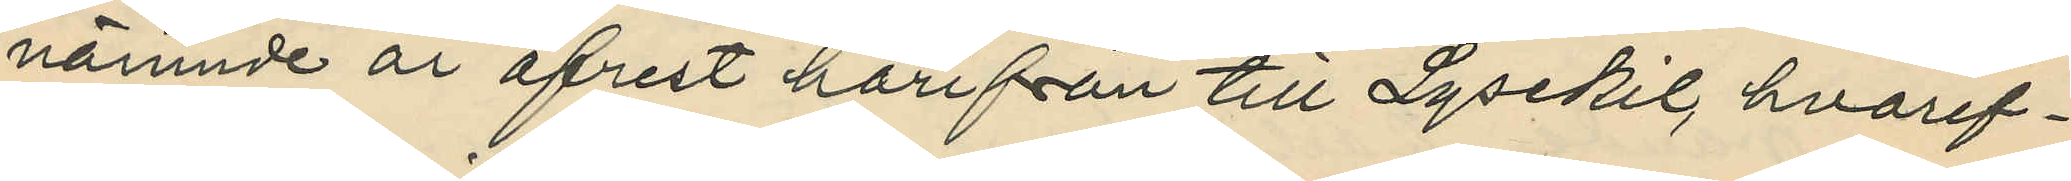nämnde år afrest härifrån till Lysekil, hvaref¬
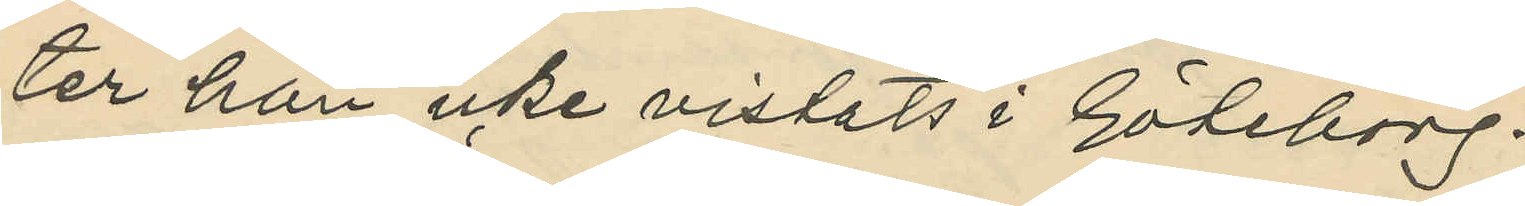ter han icke vistats i Göteborg.
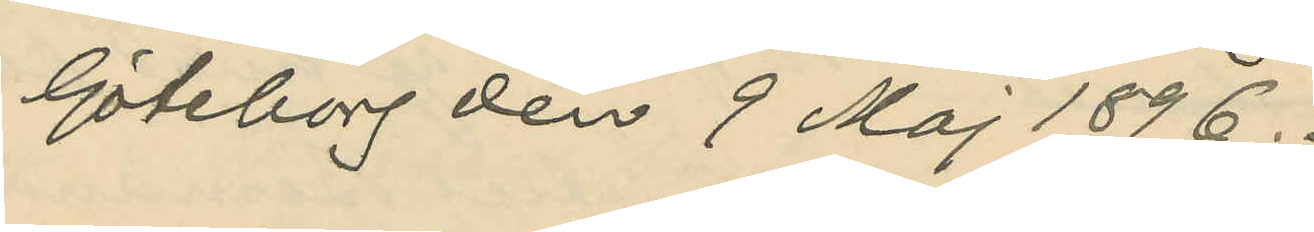Göteborg den 9 Maj 1896.
